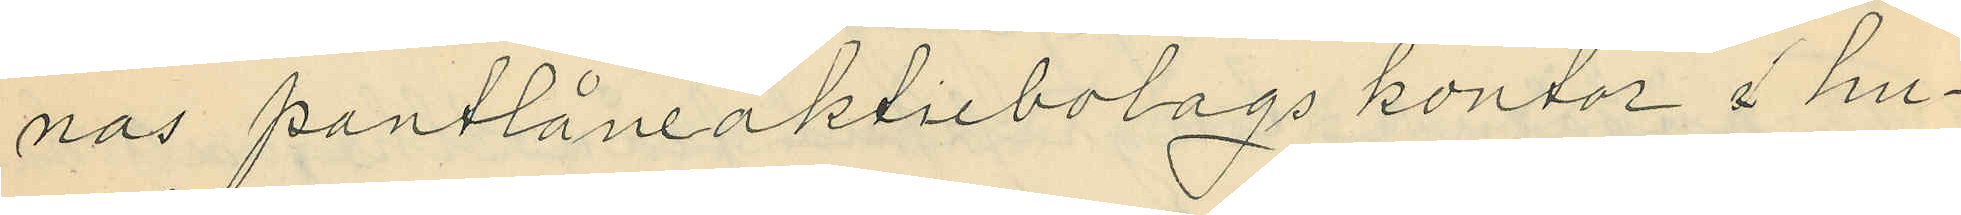nas pantlåneaktiebolags kontor i hu¬
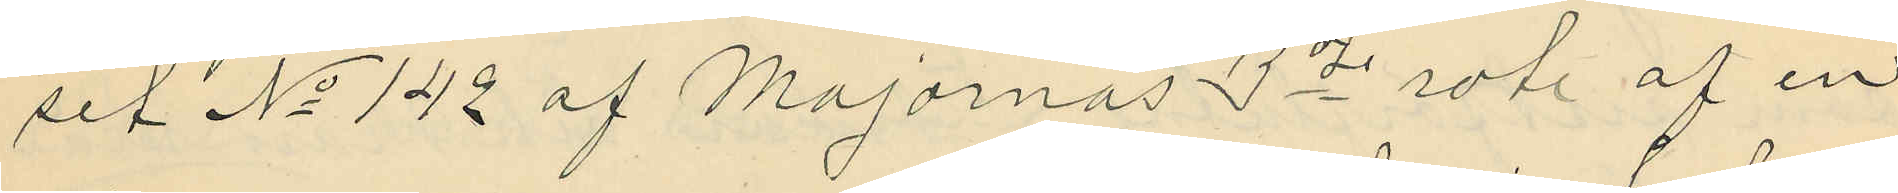set No 142 af Majornas 3dje rote af en
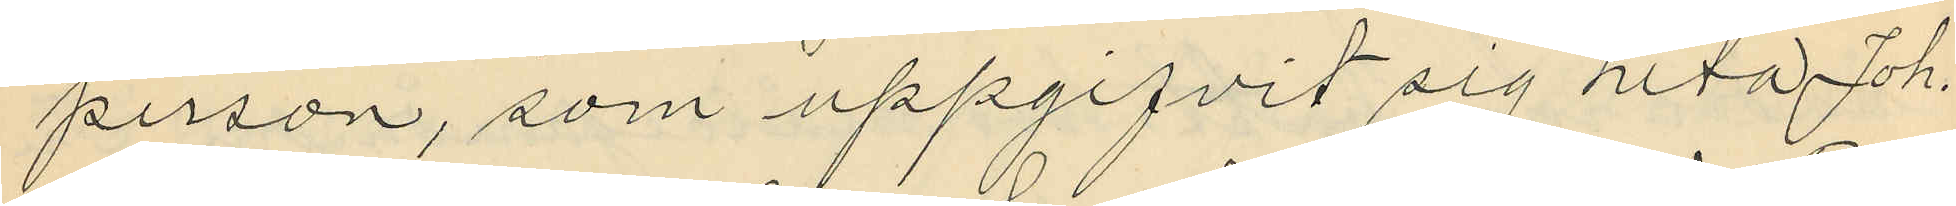person, som uppgifvit sig heta Joh.
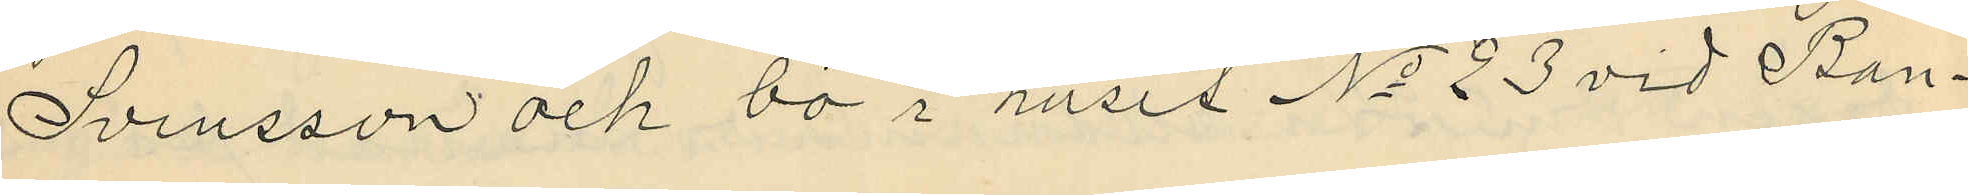Svensson och bo i huset No 23 vid Ban¬
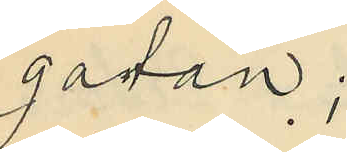gatan;
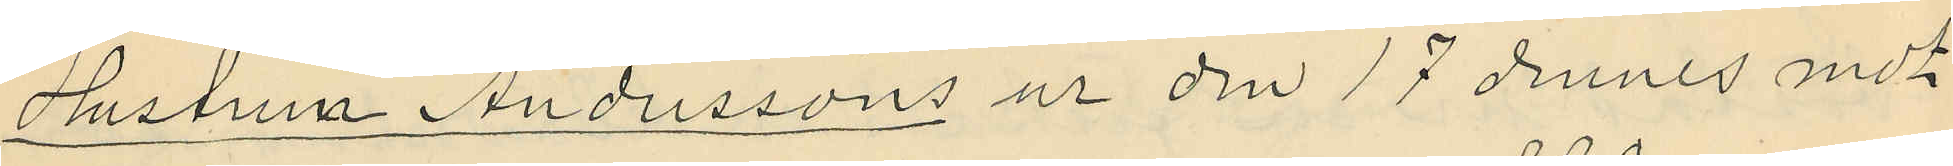Hustrun Anderssons ur den 17 dennes mot
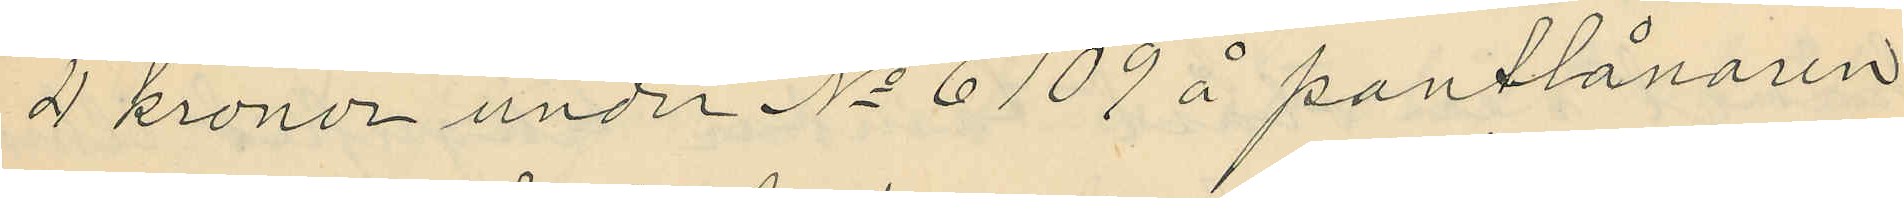4 kronor under No 6109 å pantlånaren
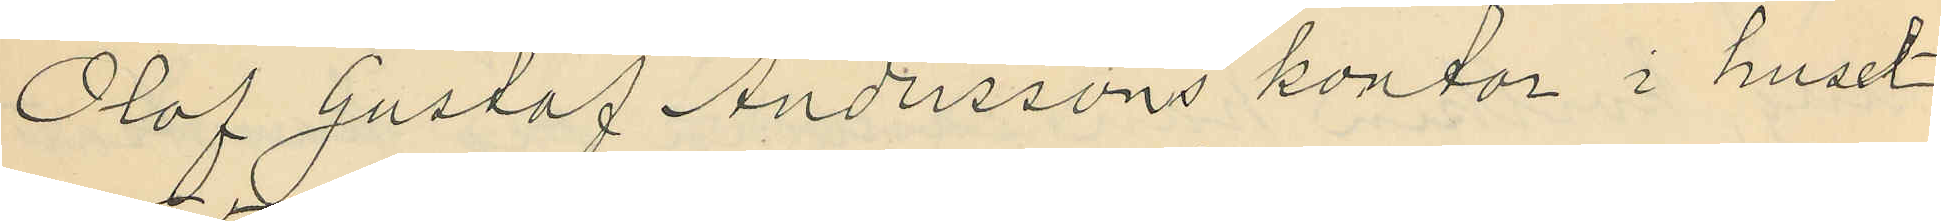Olof Gustaf Anderssons kontor i huset
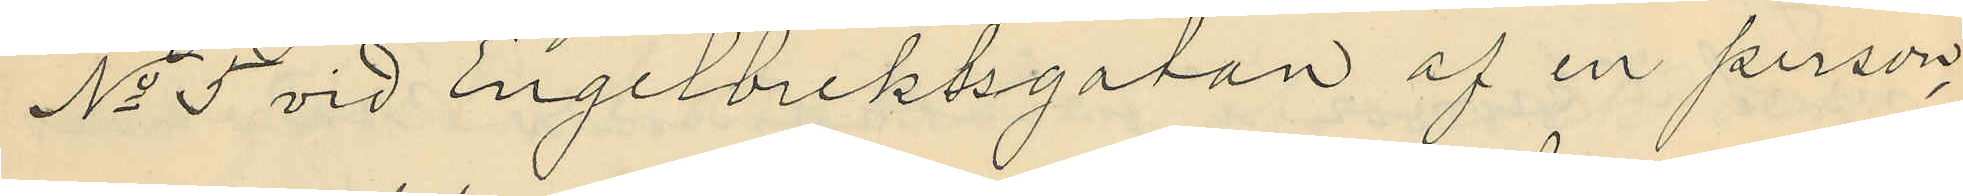No 5 vid Engelbrektsgatan af en person,
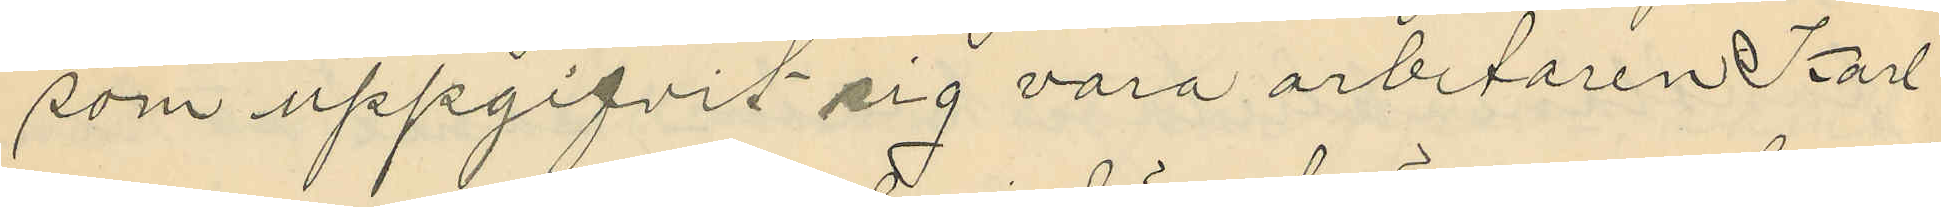som uppgifvit sig vara arbetaren Karl
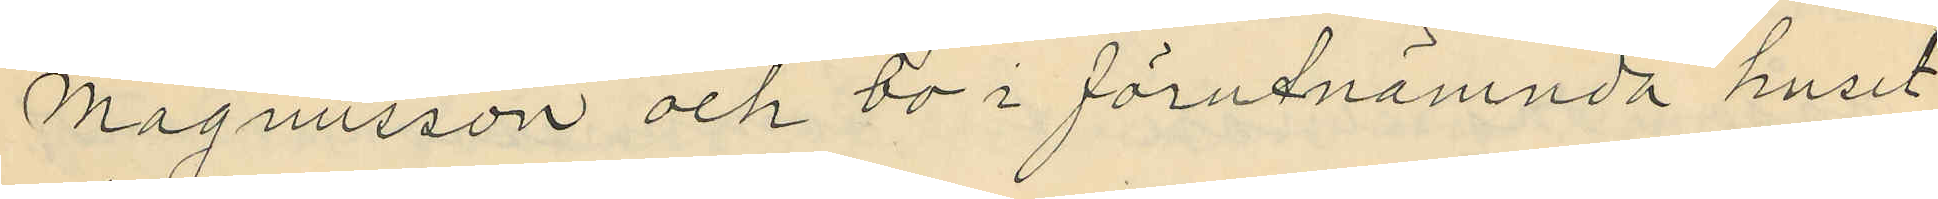Magnusson och bo i förutnämnda huset
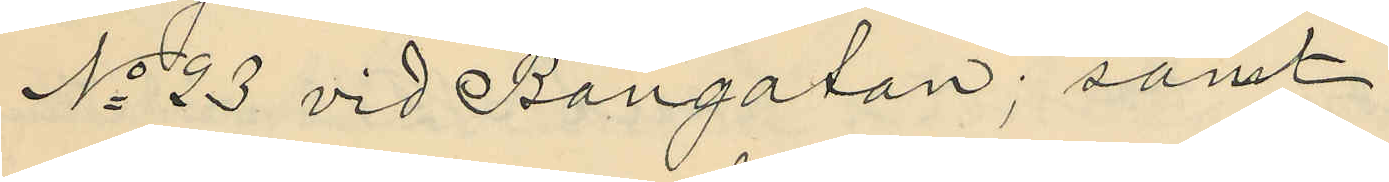No 23 vid Bangatan; samt
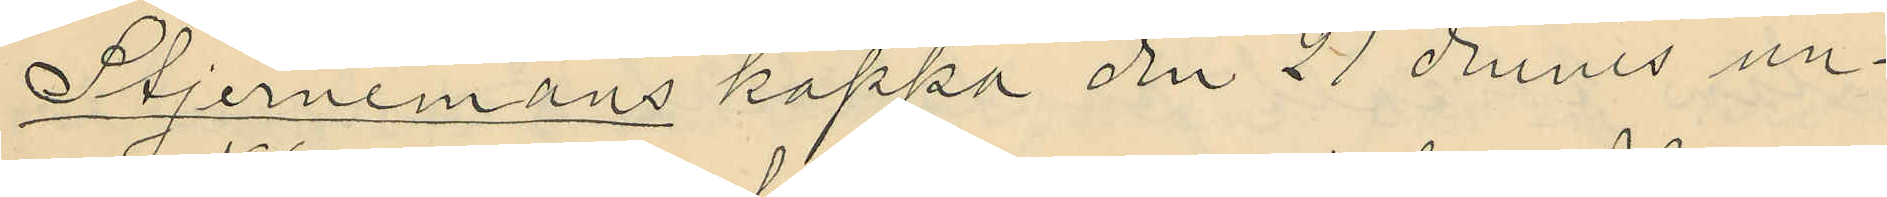Stjernemans kappa den 21 dennes un¬
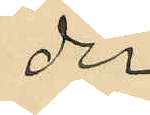der
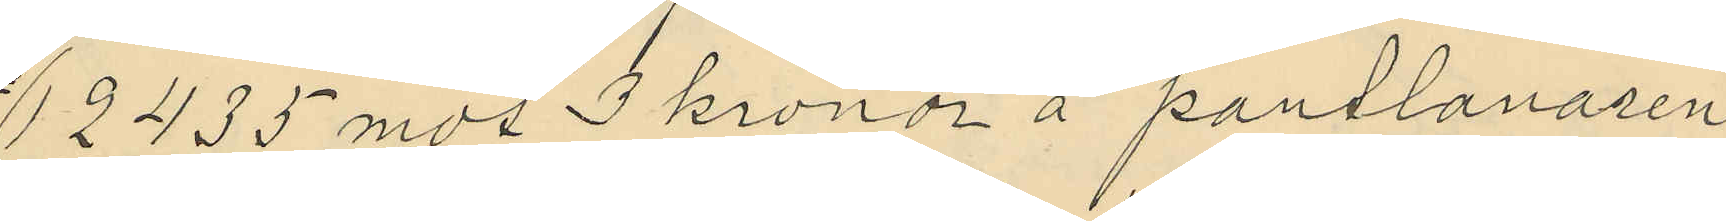12435 mot 3 kronor å pantlanaren
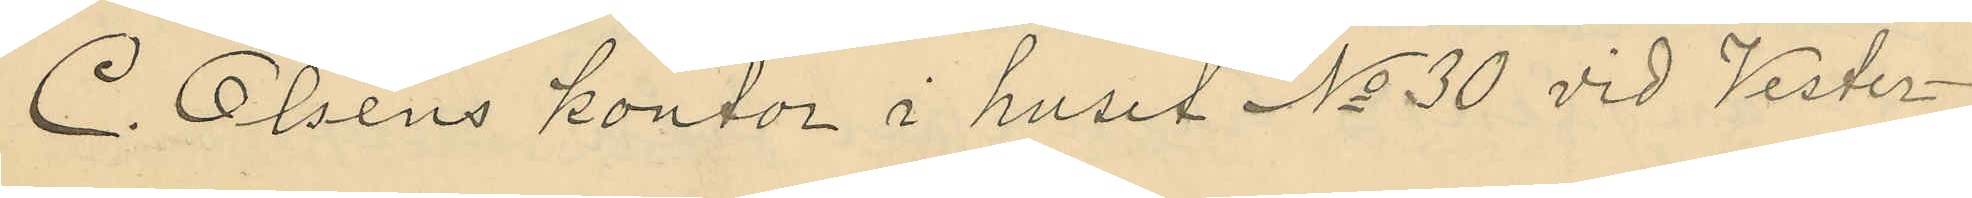C. Olséns kontor i huset No 30 vid Vester¬
